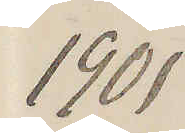1901
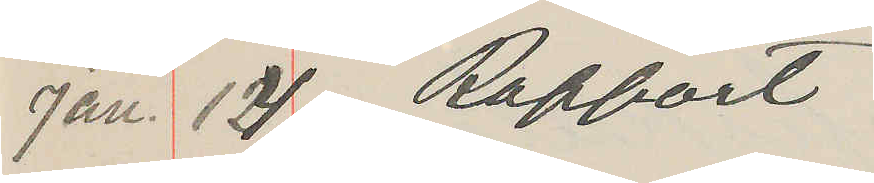Jan. 14 Rapport
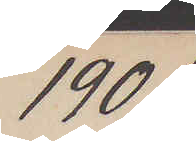1901
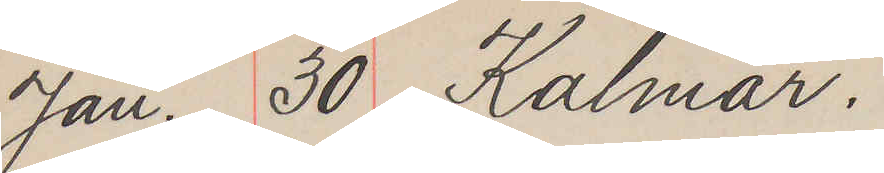Jan. 30 Kalmar.
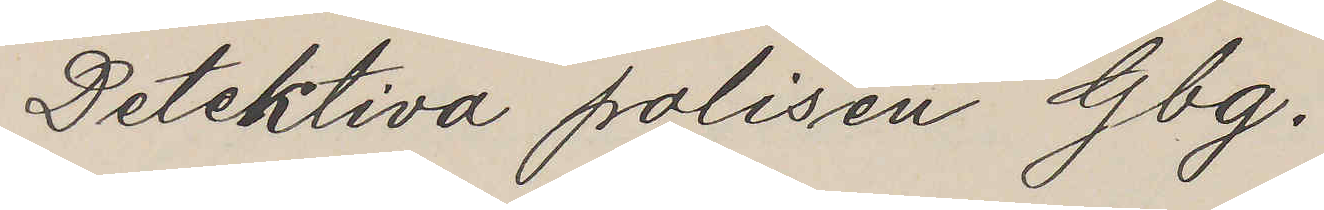Detektiva polisen Gbg.
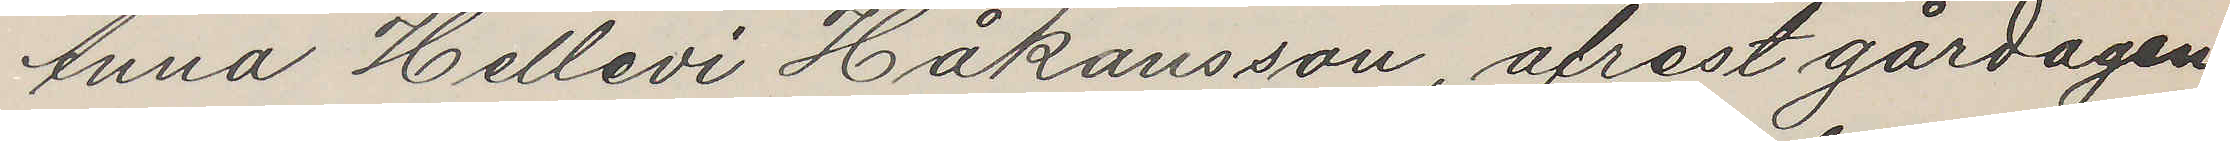Anna Hellevi Håkansson, afrest gårdagen
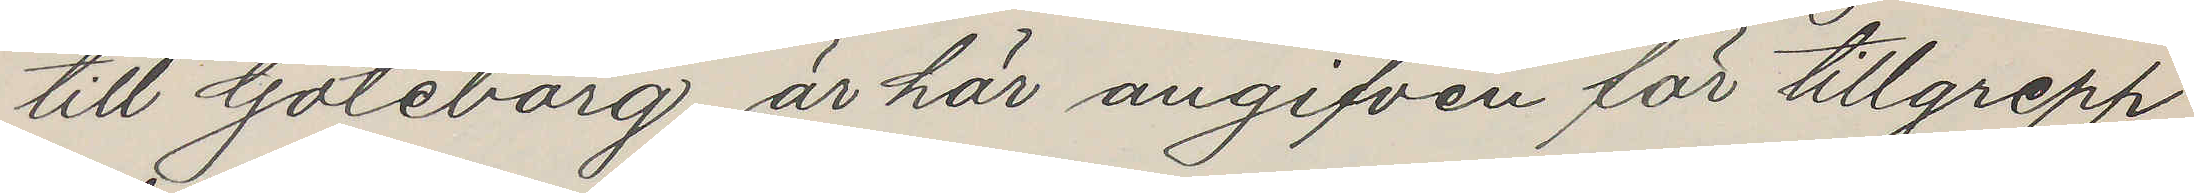till Göteborg, är här angifven för tillgrepp
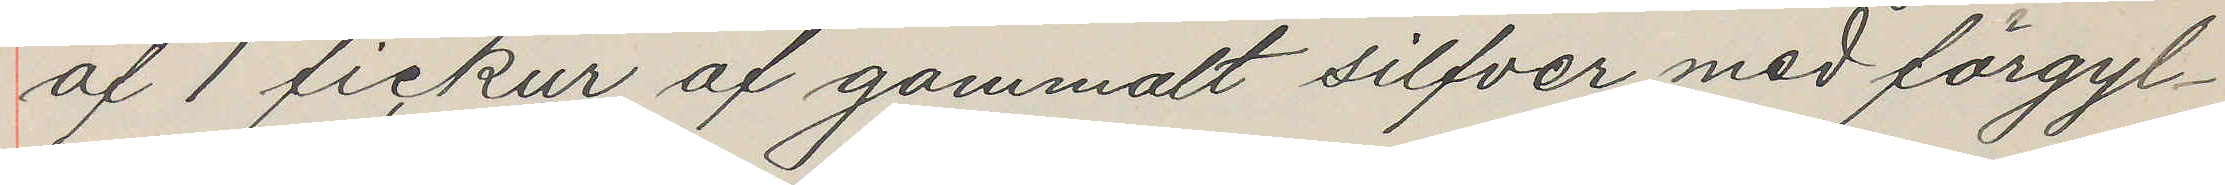af 1 fickur af gammalt silfver med förgyl¬
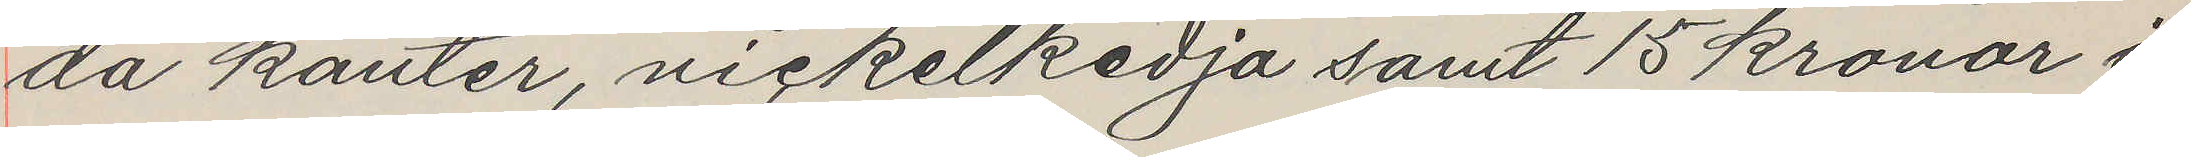da kanter, nickelkedja samt 15 kronor i
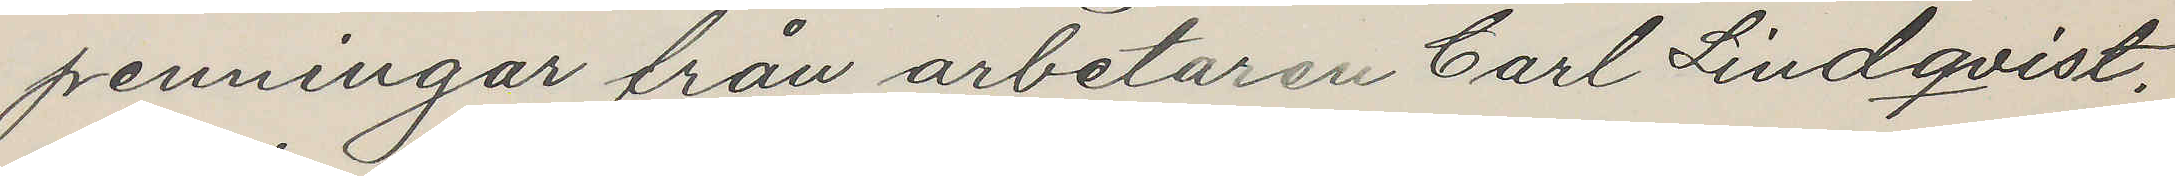penningar från arbetaren Carl Lindqvist.
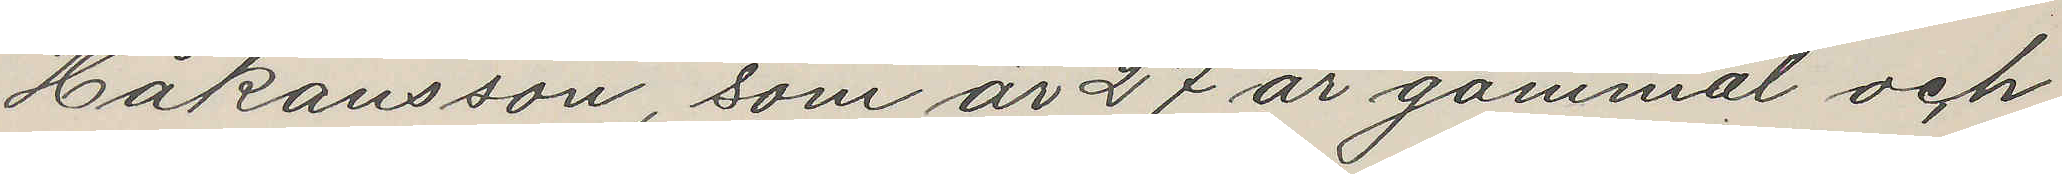Håkansson, som är 27 år gammal och
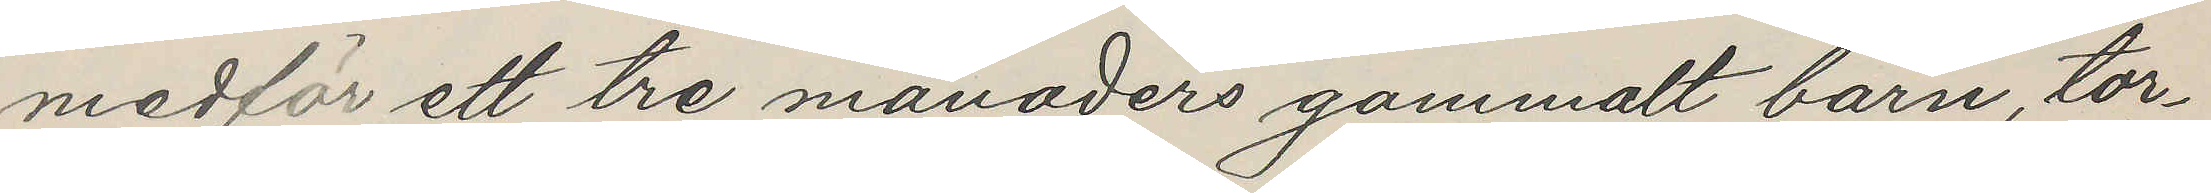medför ett tre månaders gammalt barn, tor¬
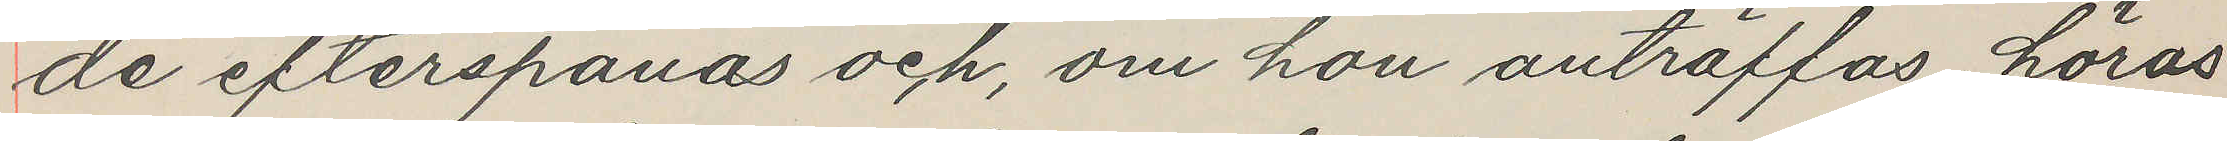de efterspanas och, om hon anträffas, höras
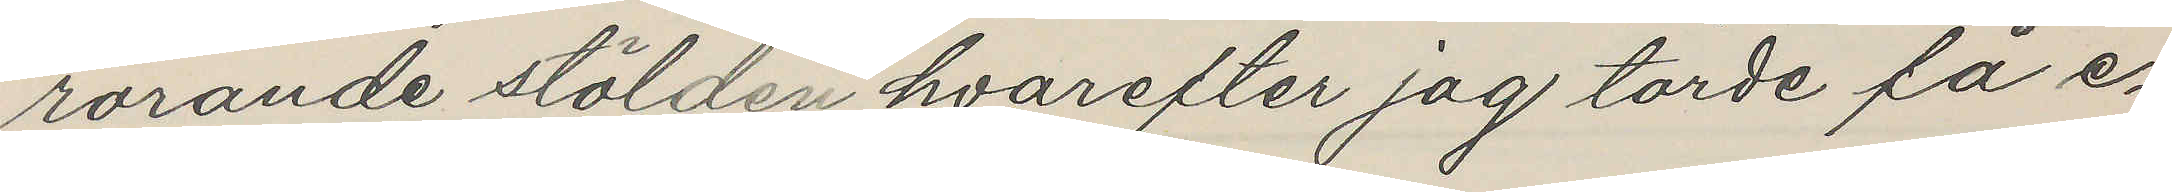rörande stölden hvarefter jag torde få e¬
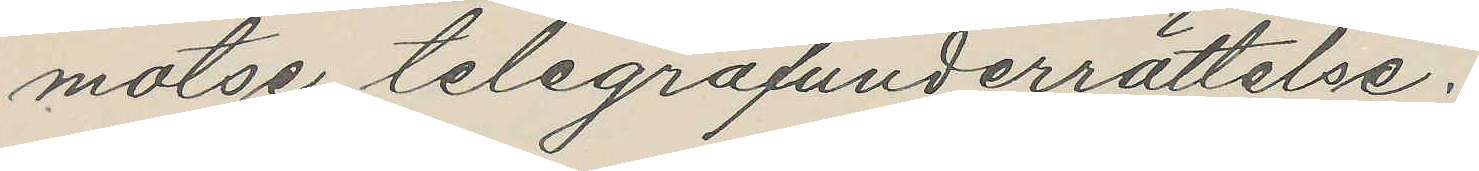motse telegrafunderrättelse.
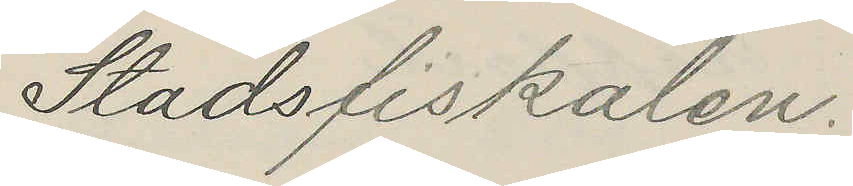Stadsfiskalen.
